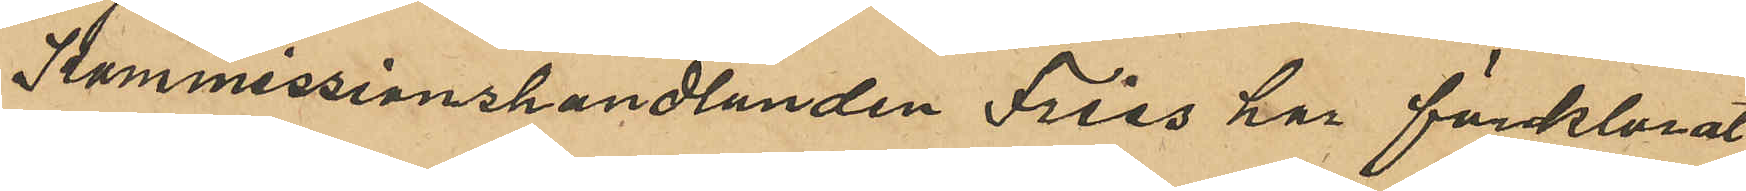Kommissionshandlanden Fries har förklarat
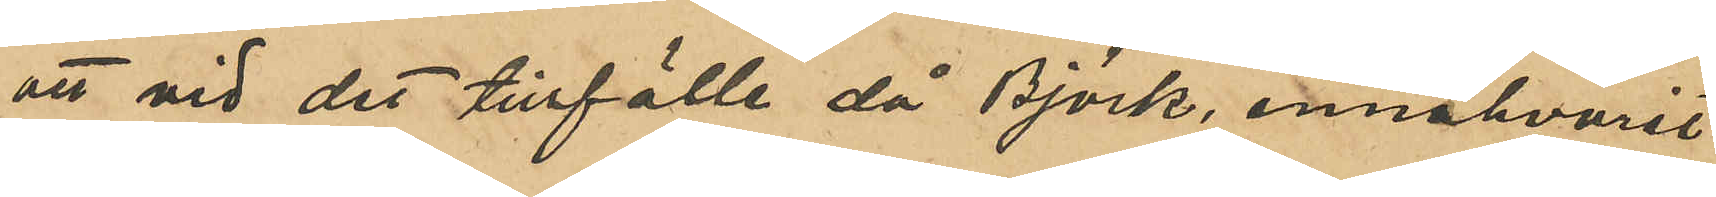att vid det tillfälle då Björk innevarit
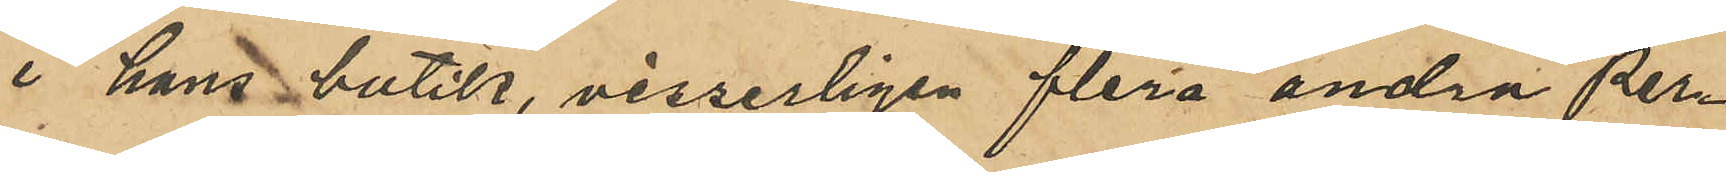i hans butik, visserligen flera andra per¬
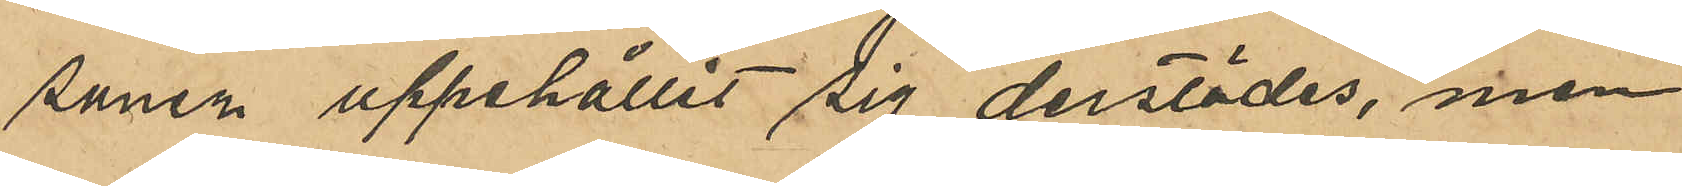soner uppehållit sig derstädes, men
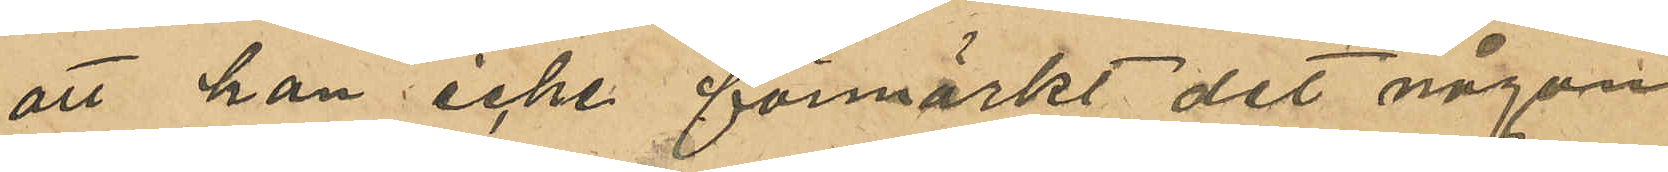att han icke förmärkt det någon
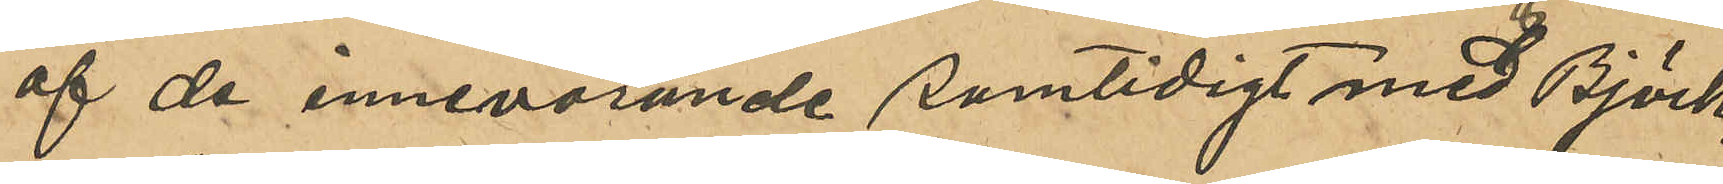af de innevarande samtidigt med Björk,
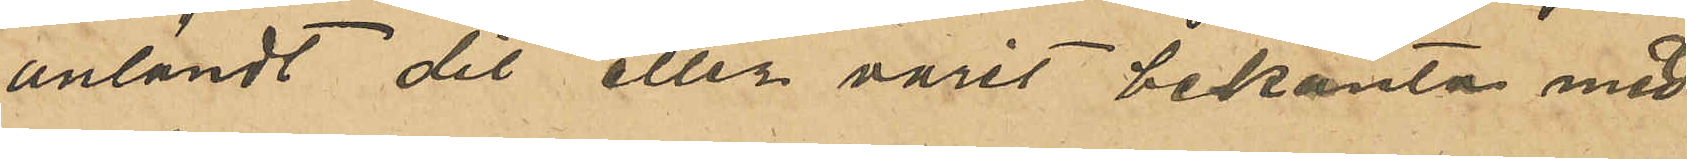anländt dit eller varit bekanta med
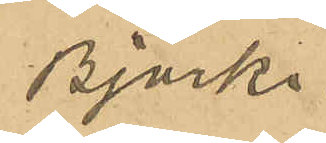Björk.
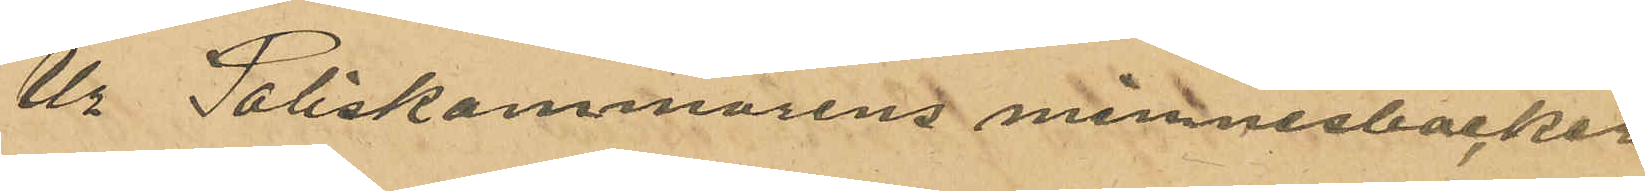Ur Poliskammarens minnesböcker
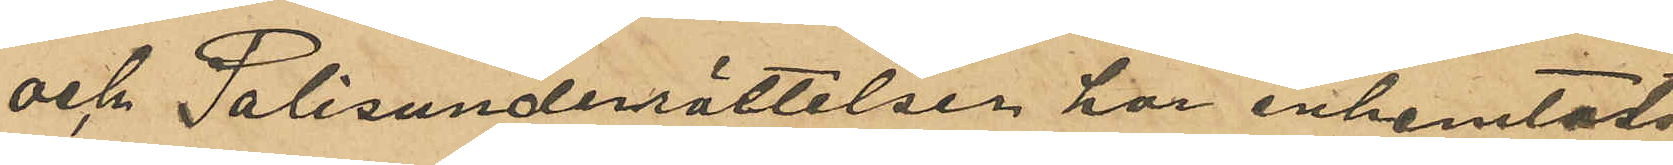och Polisunderrättelser har inhemtats
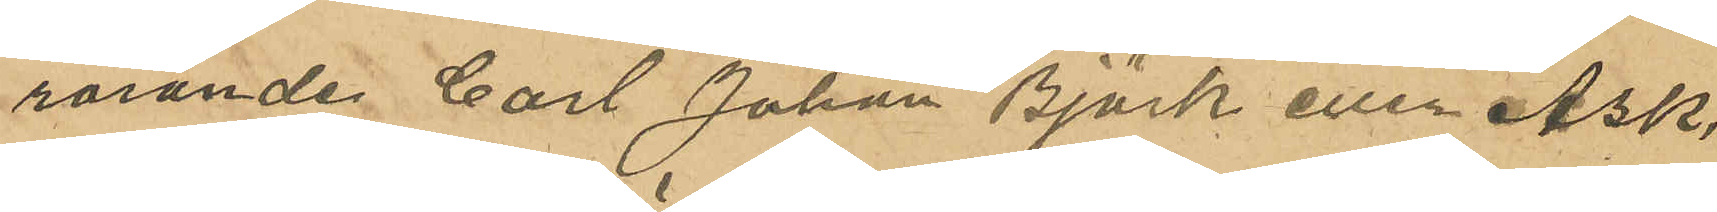rörande Carl Johan Björk eller Ask,
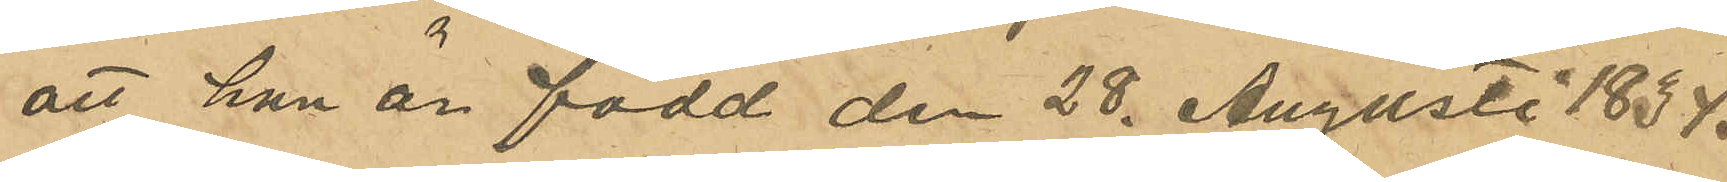att han är född den 28 Augusti 1834
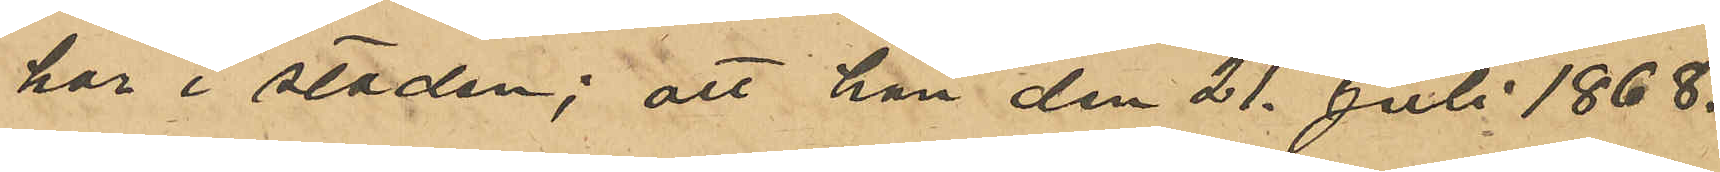här i staden; att han den 21 Juli 1868.
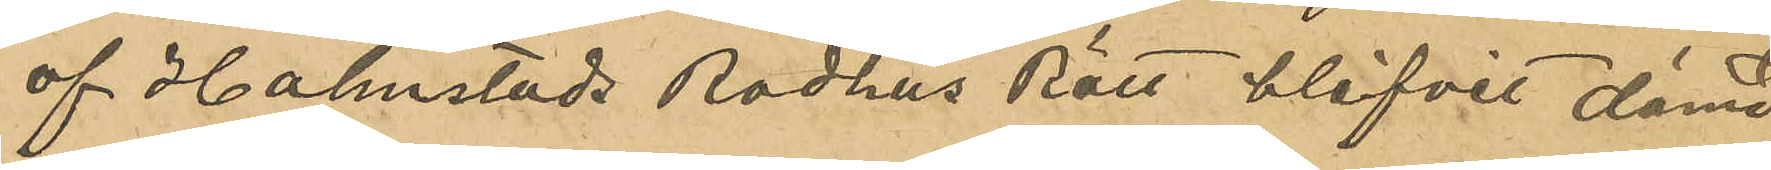af Halmstads Radhus Rätt blifvit dömd
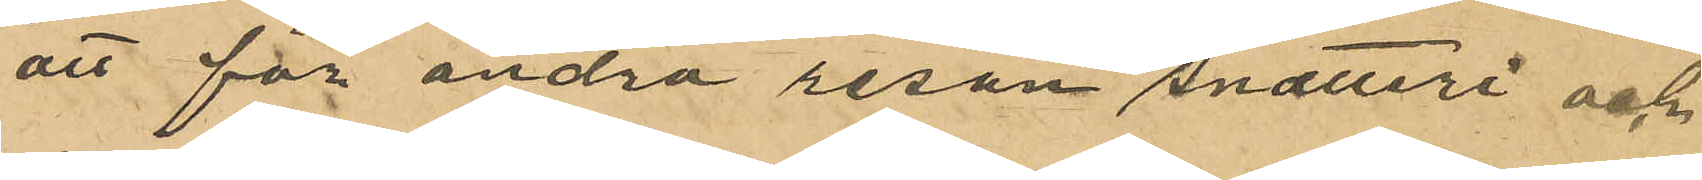att för andra resan snatteri och
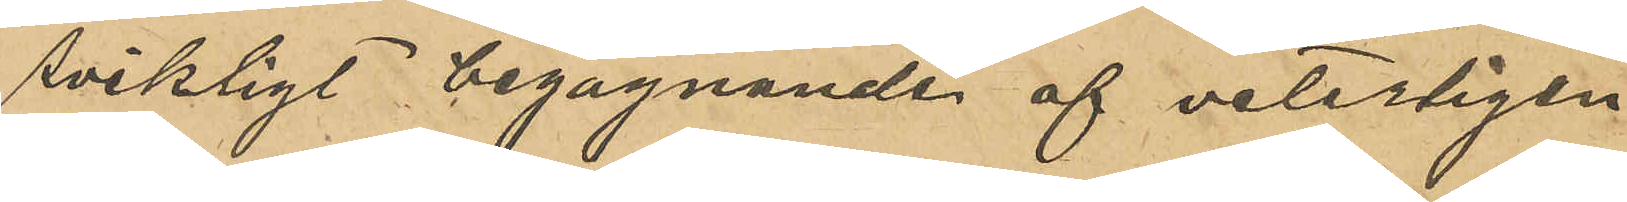svikligt begagnande af veterligen
